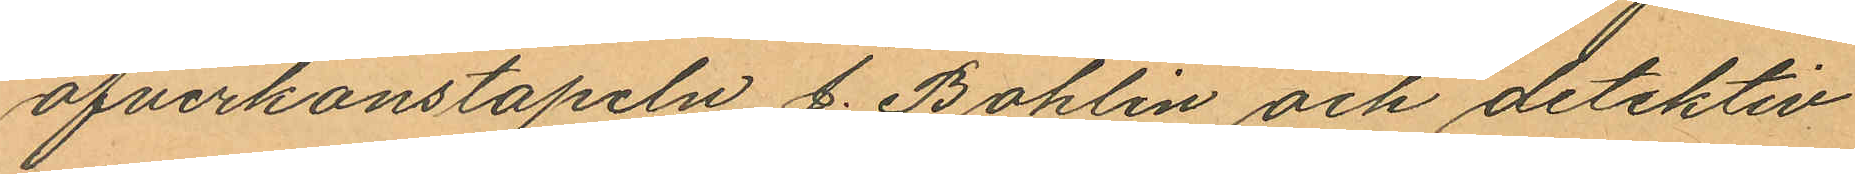öfverkonstapeln J. Bohlin och detektiv¬
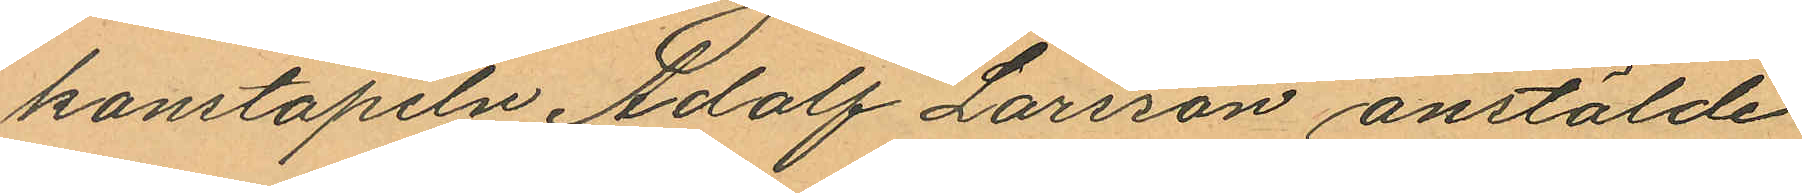konstapeln Adolf Larsson anstälde
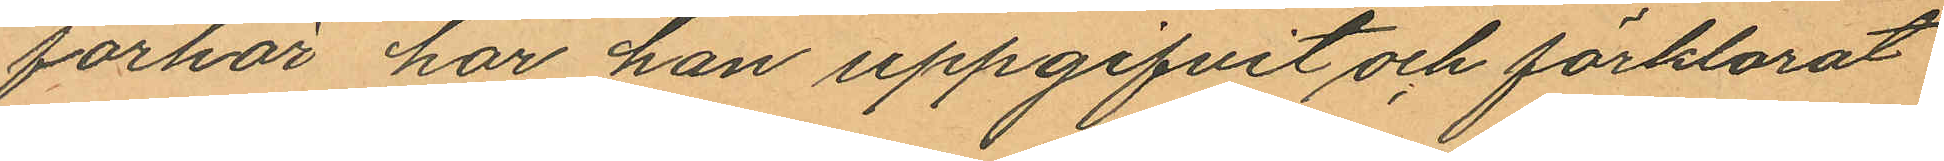förhör har han uppgifvit och förklarat
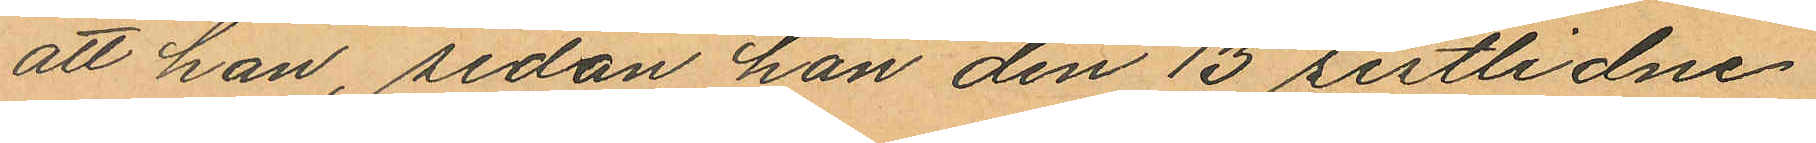att han, sedan han den 13 sistlidne
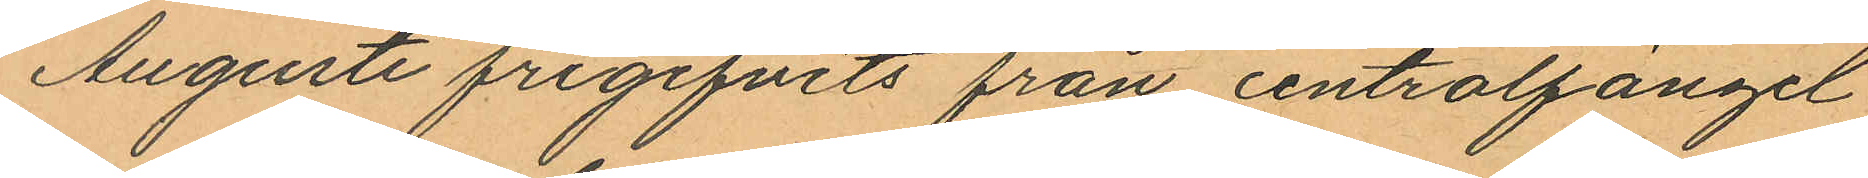Augusti frigifvits från centralfängel
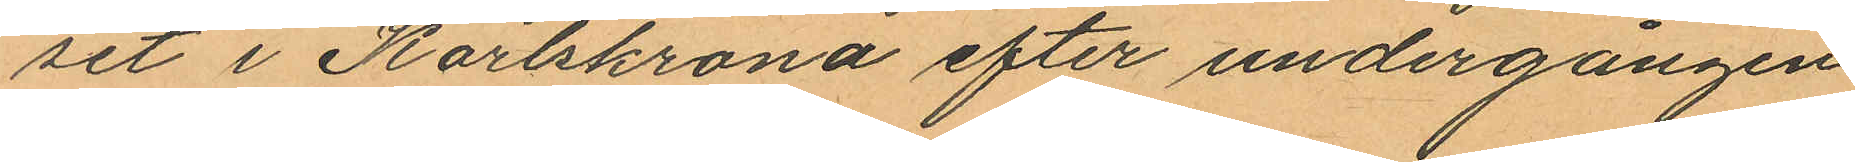set i Karlskrona efter undergången
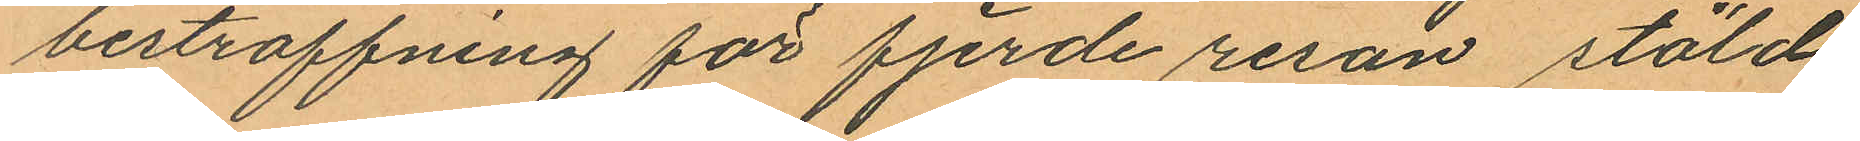bestraffning för fjerde resan stöld
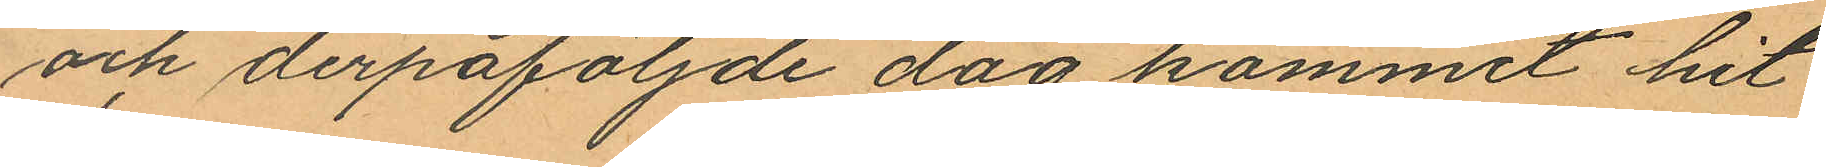och derpåföljande dag kommit hit
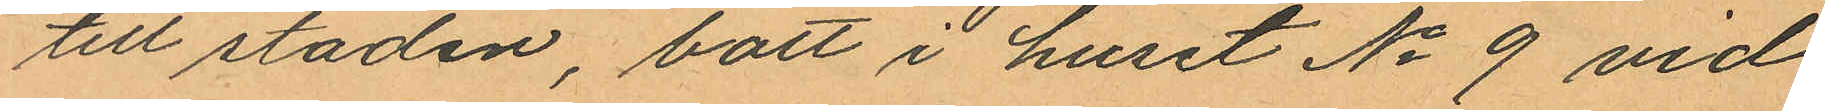till staden, bott i huset No 9 vid
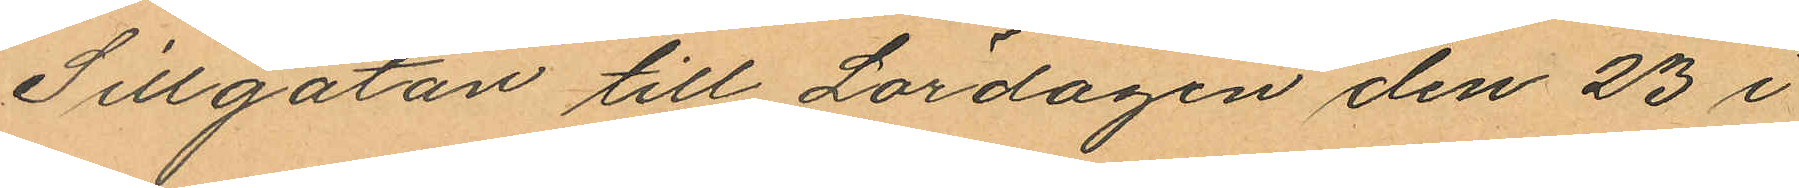Sillgatan till Lördagen den 23 i
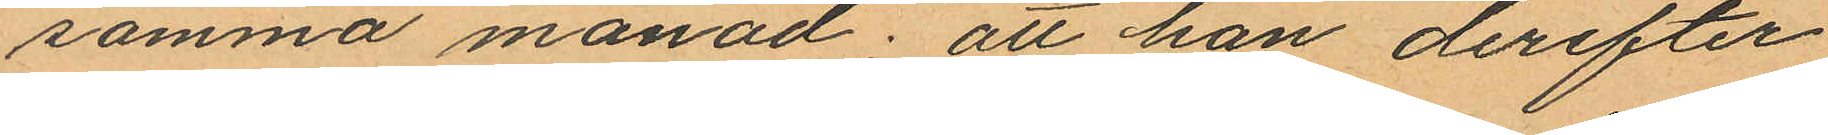samma månad; att han derefter
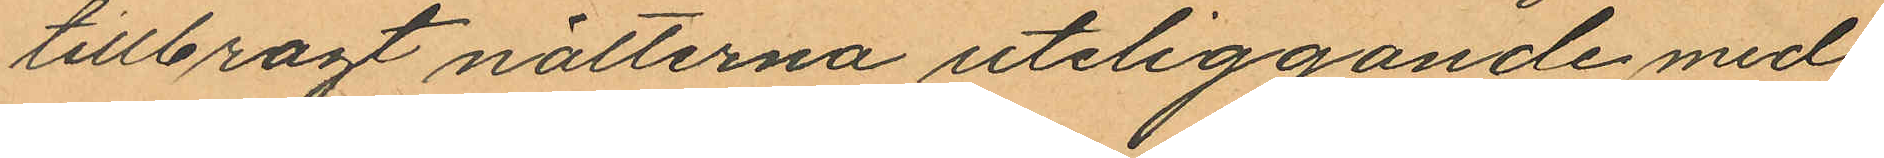tillbragt nätterna uteliggande med
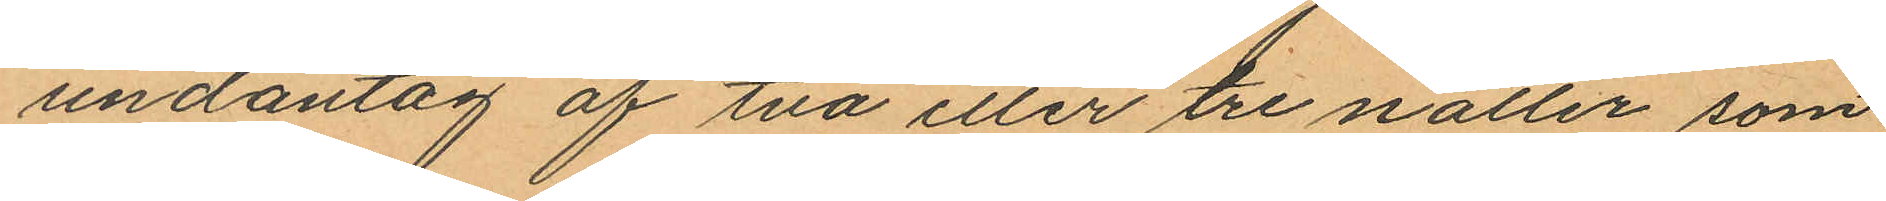undantag af två eller tre nätter, som
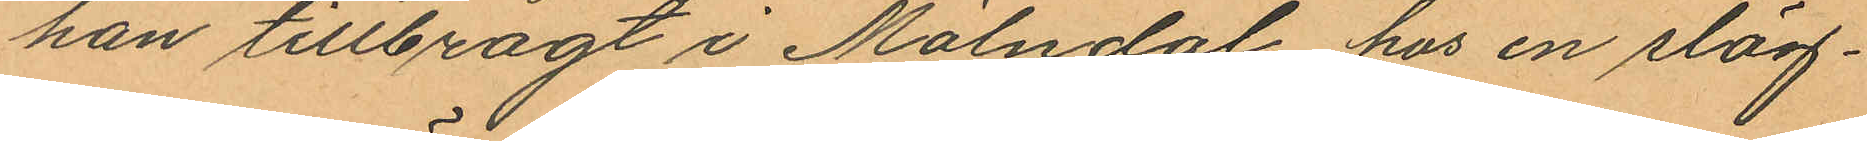han tillbragt i Mölndal hos en släg¬
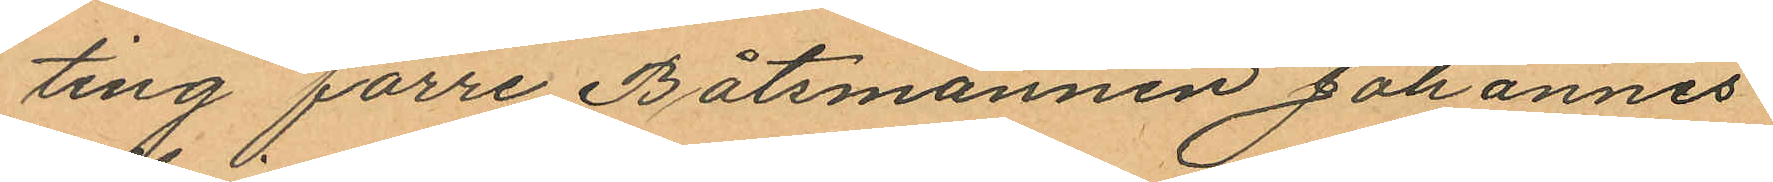ting förre Båtsmannen Johannes
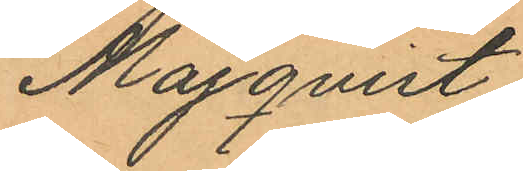Majqvist;
